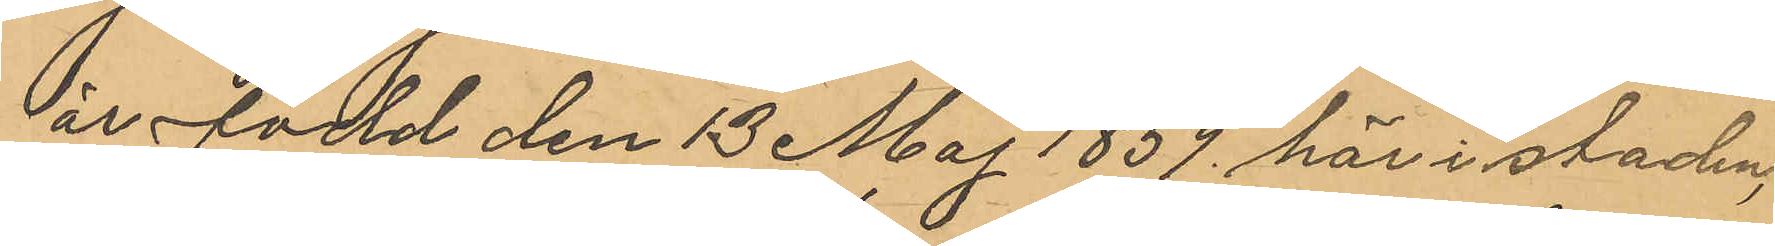är född den 13 Maj 1859 här i staden,
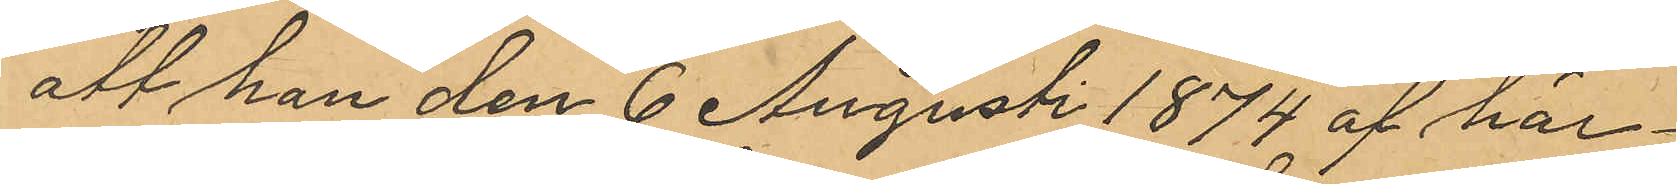att han den 6 Augusti 1874 af här¬
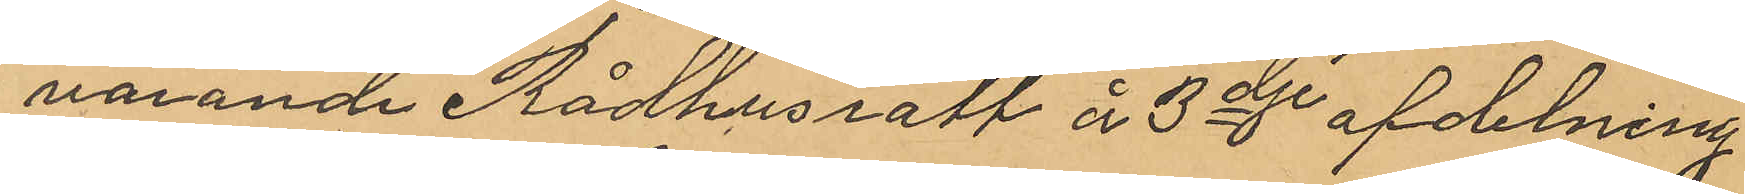varande Rådhusrätt å 3dje afdelning¬
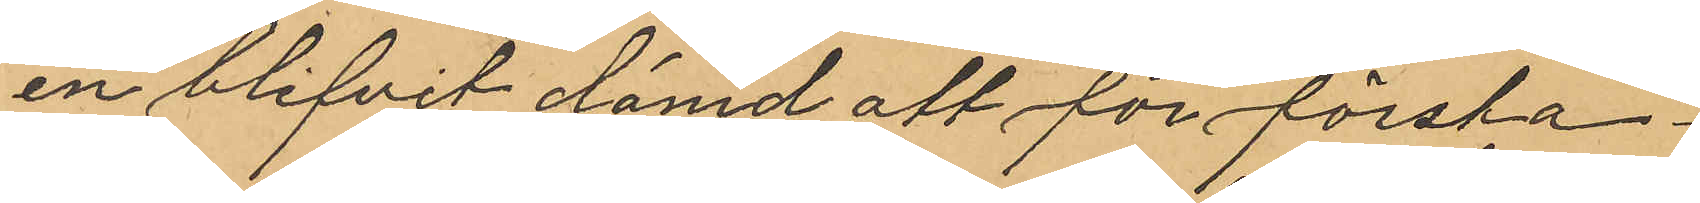en blifvit dömd att för första
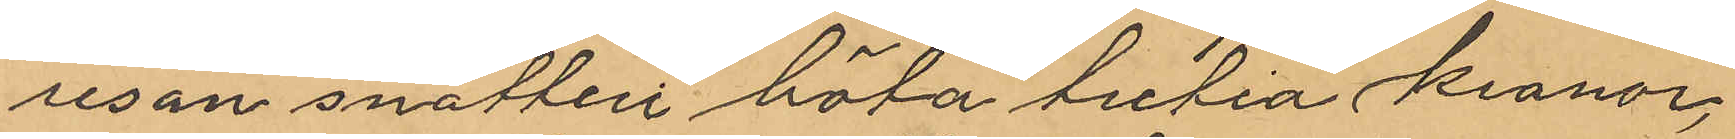resan snatteri böta tretio kronor,
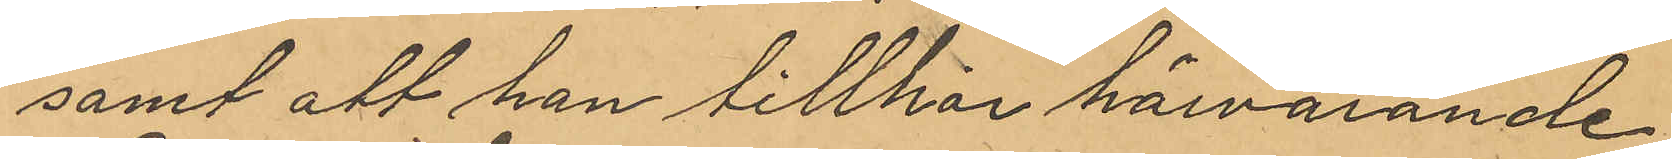samt att han tillhör härvarande
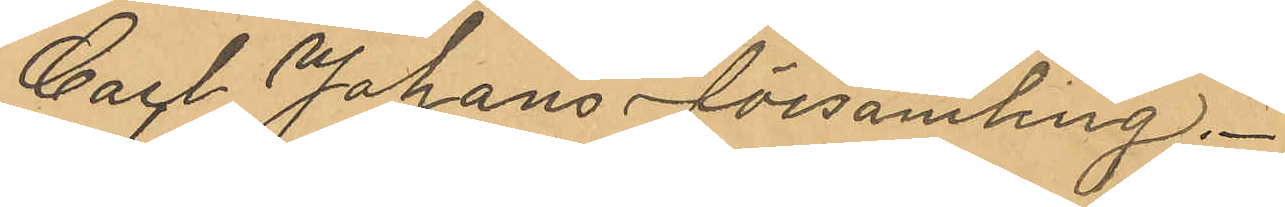Carl Johans Församling.
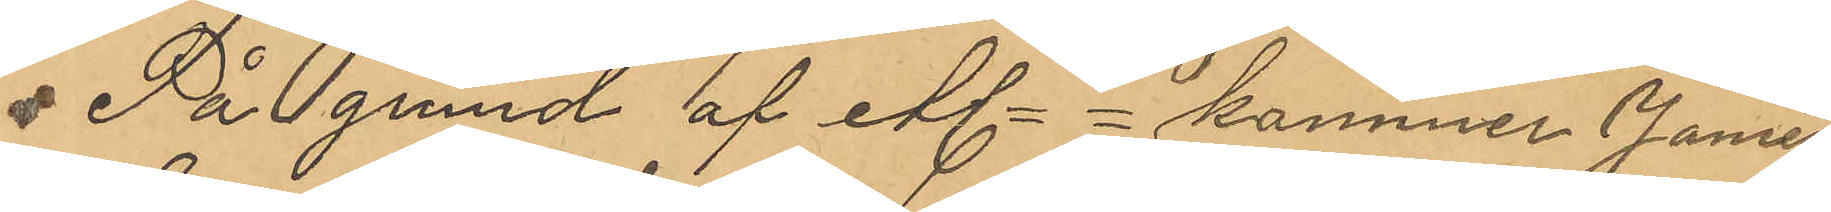På grund af etc kommer James
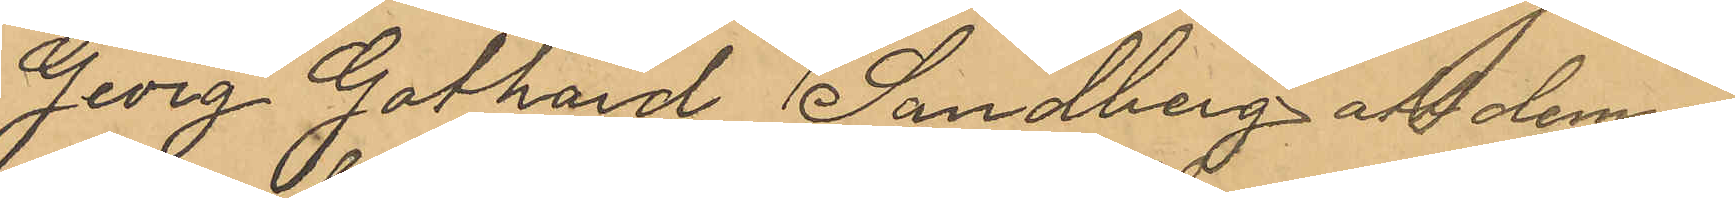Georg Gothard Sandberg att denna
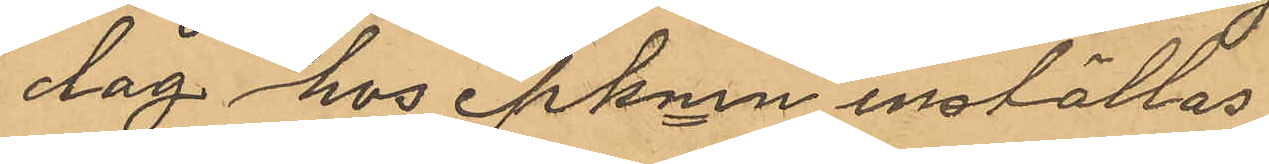dag hos pkmn inställas.
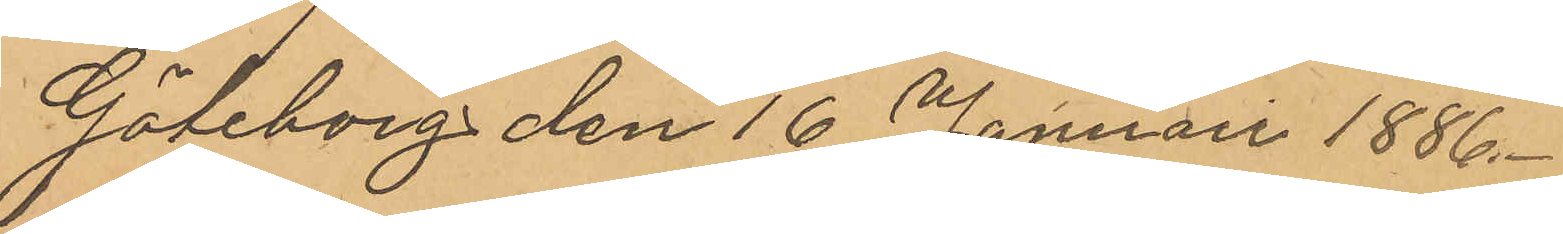Göteborg den 16 Januari 1886.
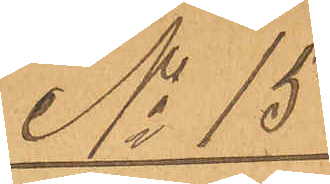No 15
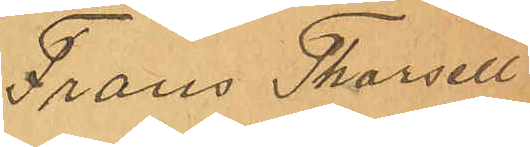Frans Thorsell
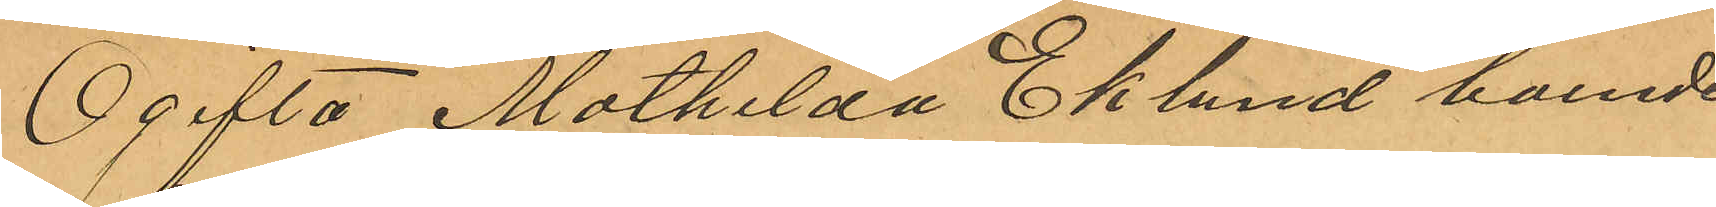Ogifta Mathilda Eklund boende
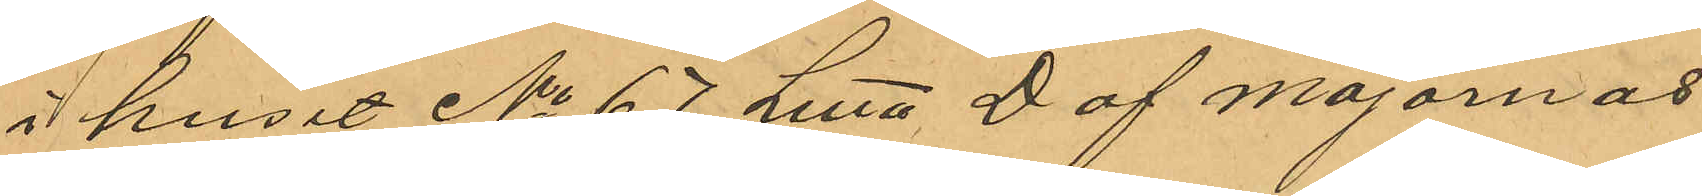i huset No 67 Litt. D af majornas
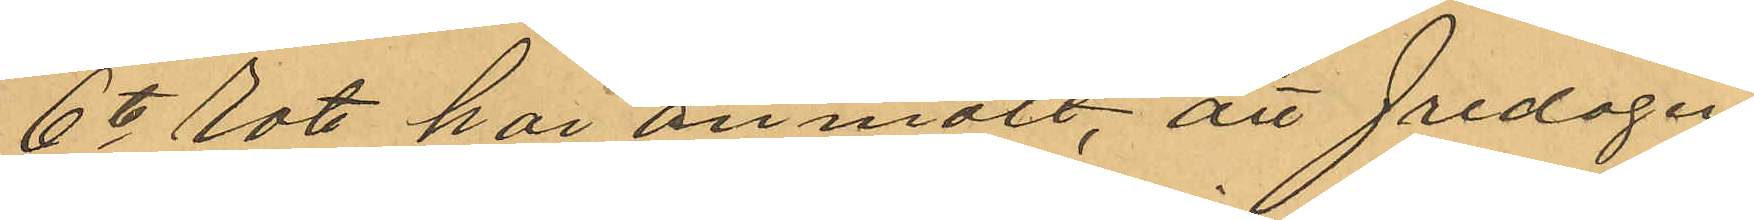6te Rote, har anmält, att Fredagen
